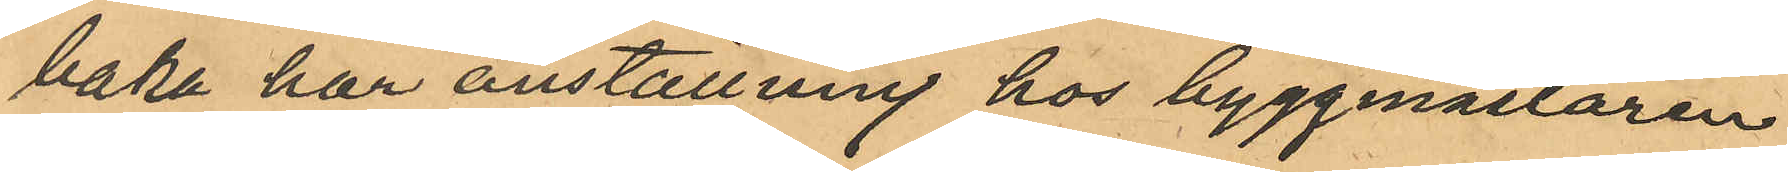baka har anställning hos byggmästaren
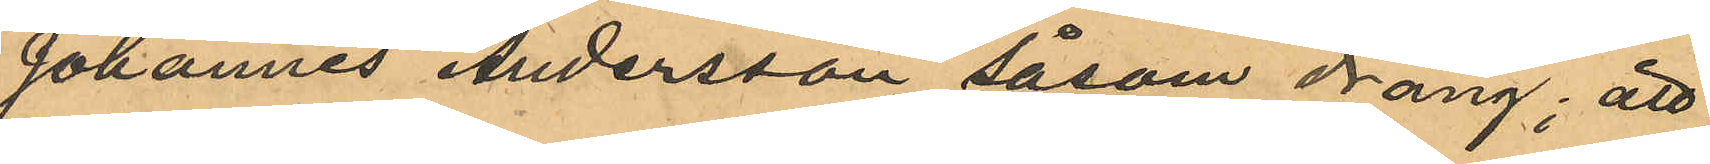Johannes Andersson såsom dräng; att
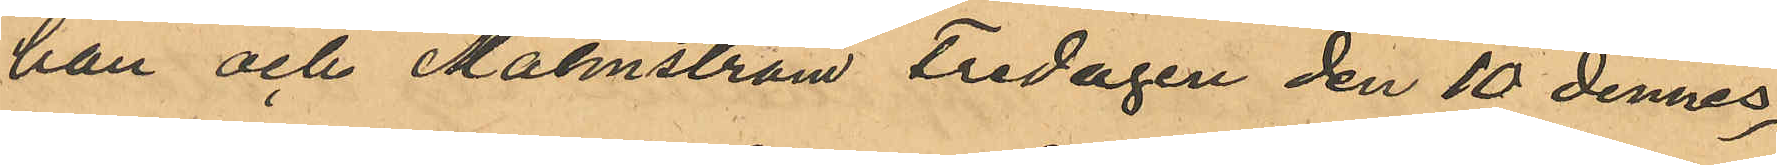han och Malmström Fredagen den 10 dennes,
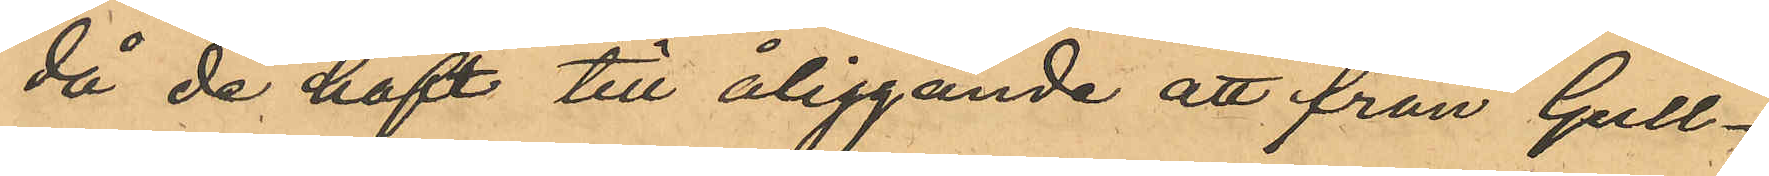då de haft till åliggande att från Gull¬
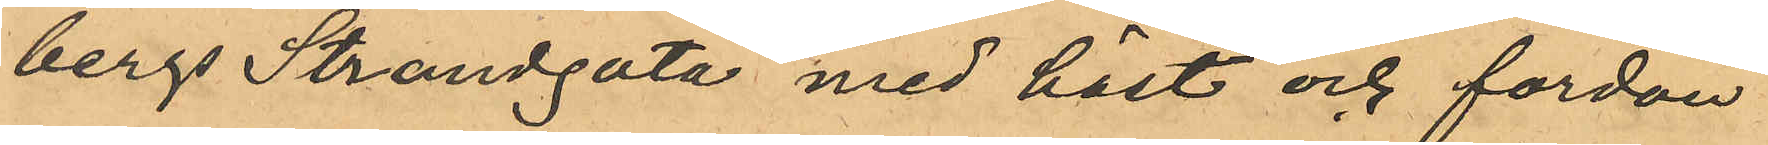bergs Strandgata med häst och fordon
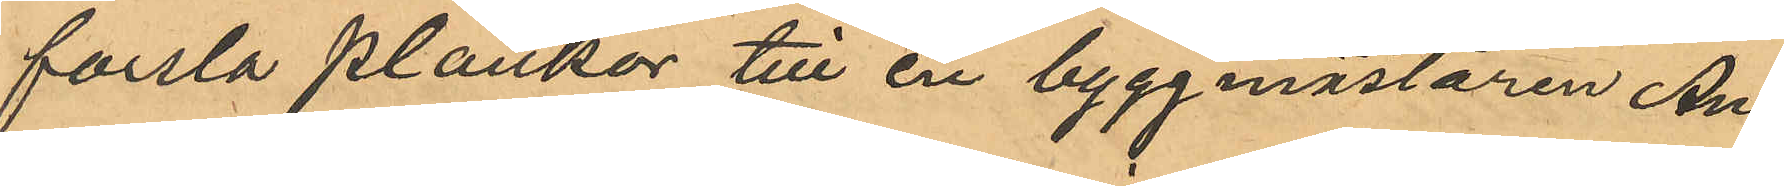forsla plankor till en byggmästaren An¬
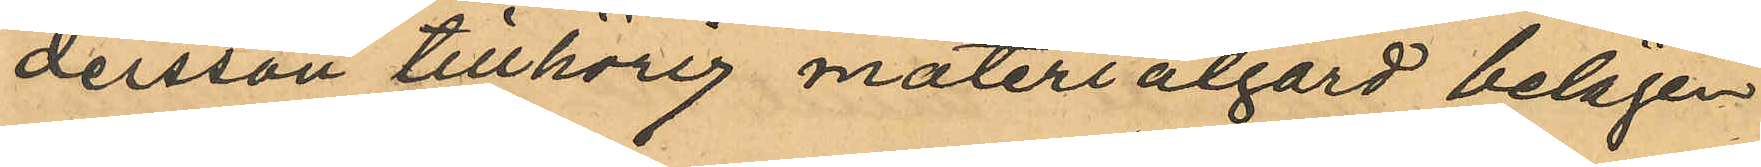dersson tillhörig materialgård belägen
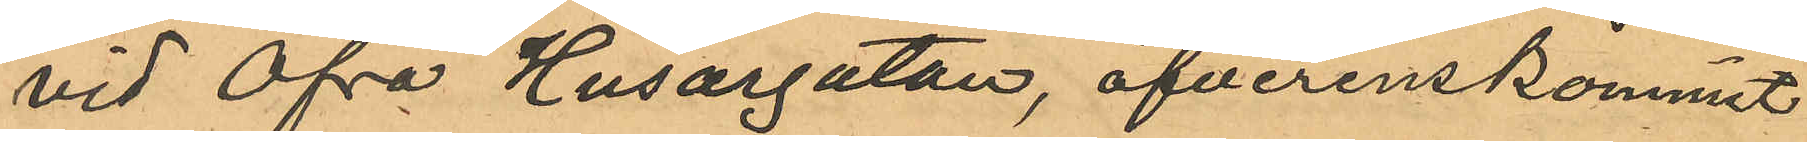vid Öfra Husargatan, öfverenskommit
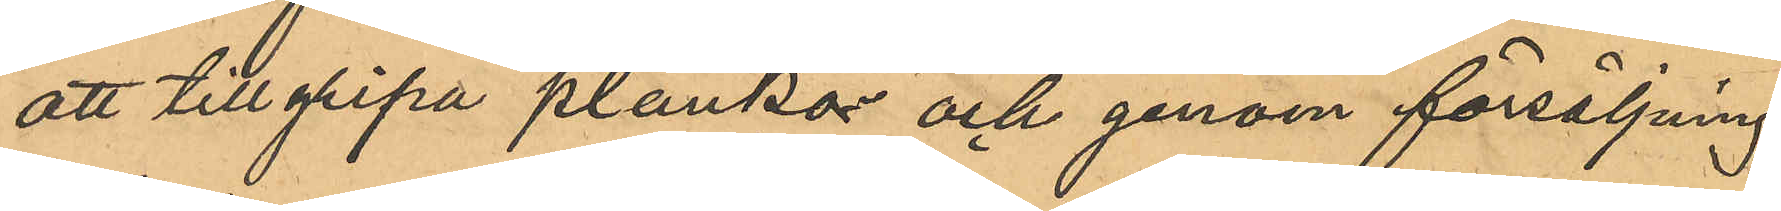att tillgripa plankor och genom försäljning
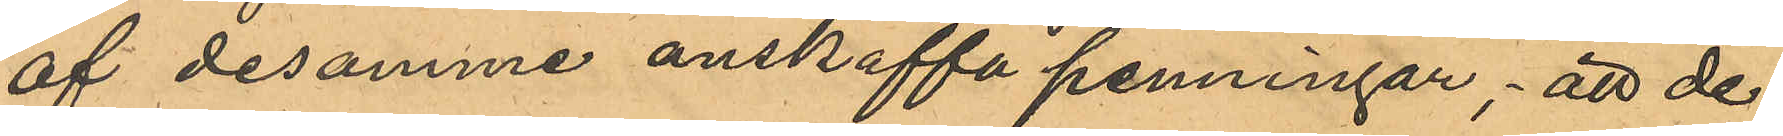af desamme anskaffa penningar; att de
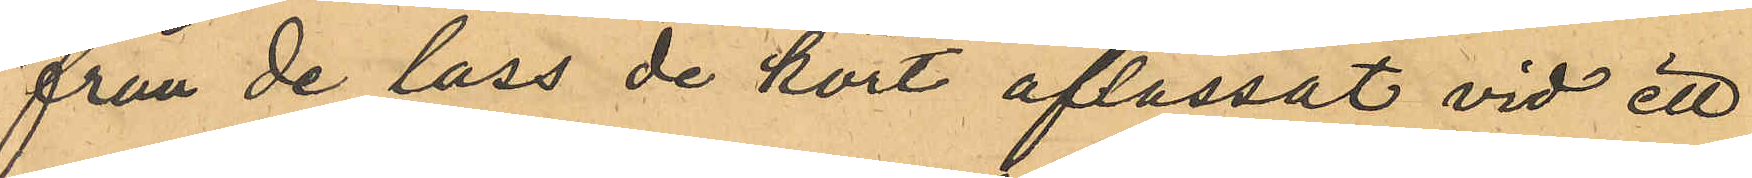från de lass de kört aflassat vid ett
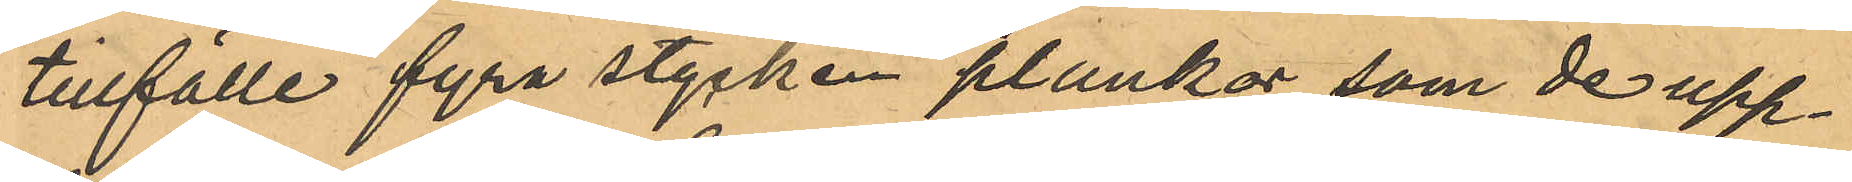tillfälle fyra stycken plankor, som de upp¬
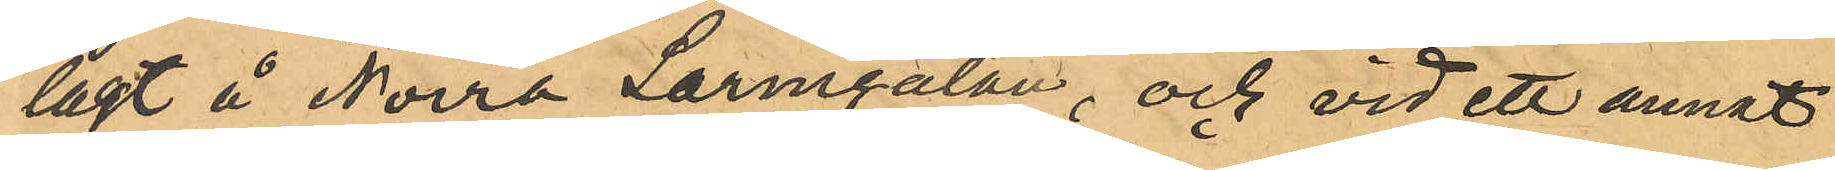lagt å Norra Larmgatan, och vid ett annat
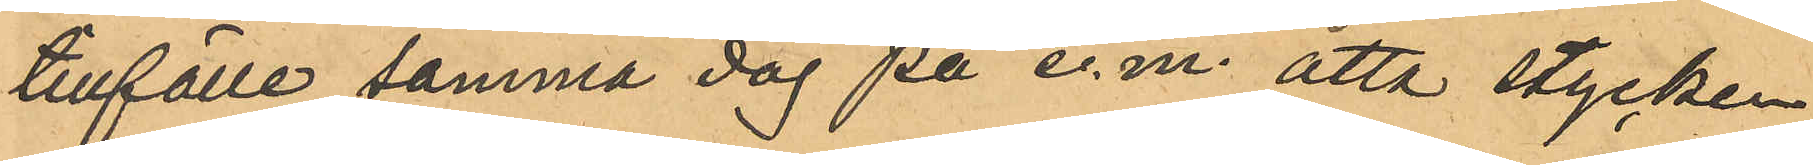tillfälle samma dag på e.m. åtta stycken
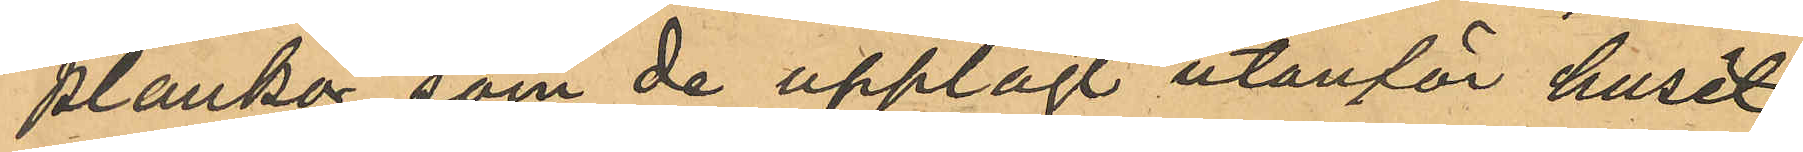plankor som de upplagt utanför huset
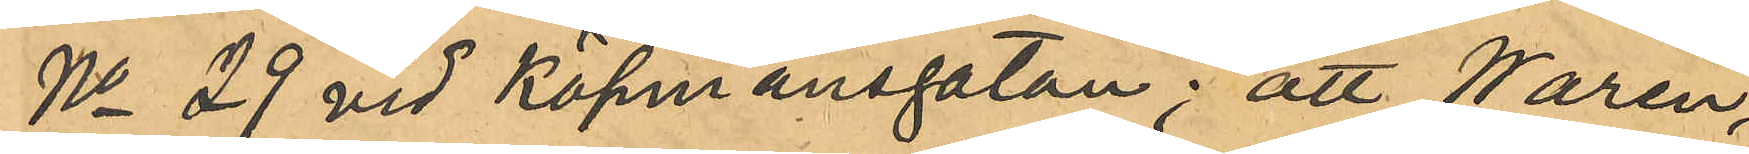No 29 vid Köpmansgatan; att Warén,
